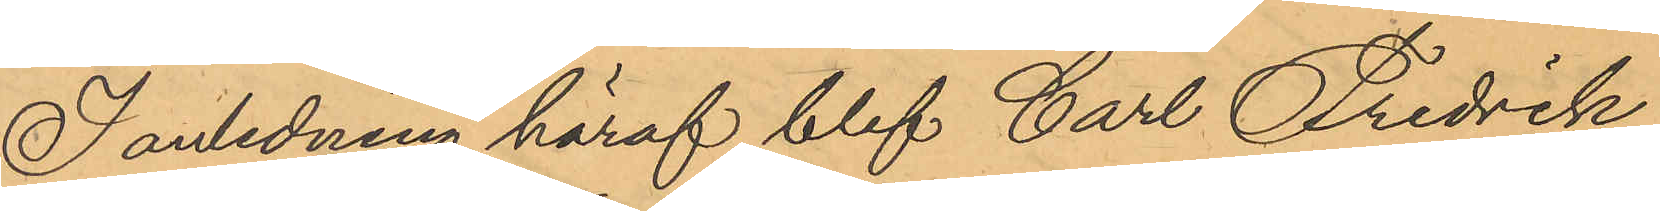I anledning häraf blef Carl Fredrik
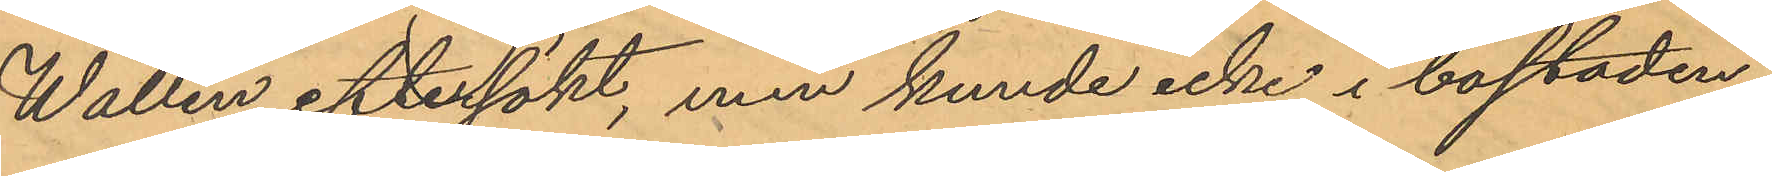Wallin eftersökt, men kunde icke i bostaden
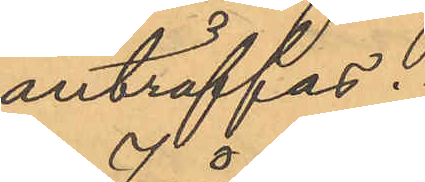anträffas.
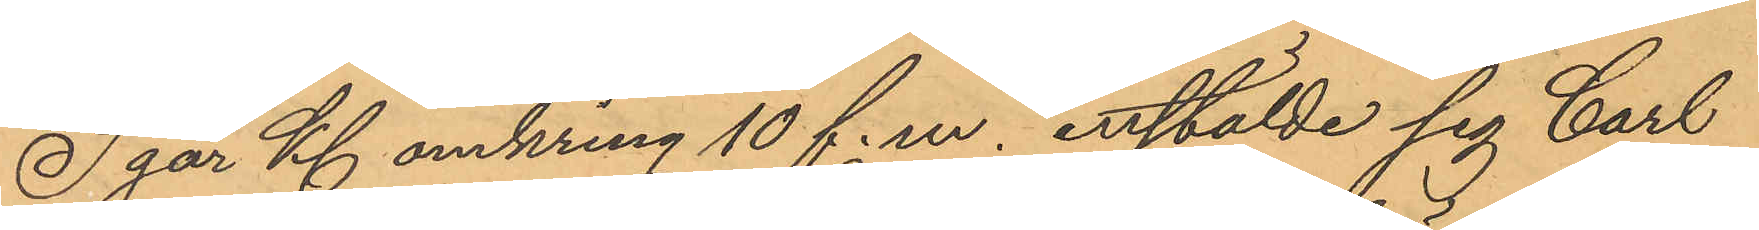I går Kl omkring 10 f.m. anstälde sig Carl
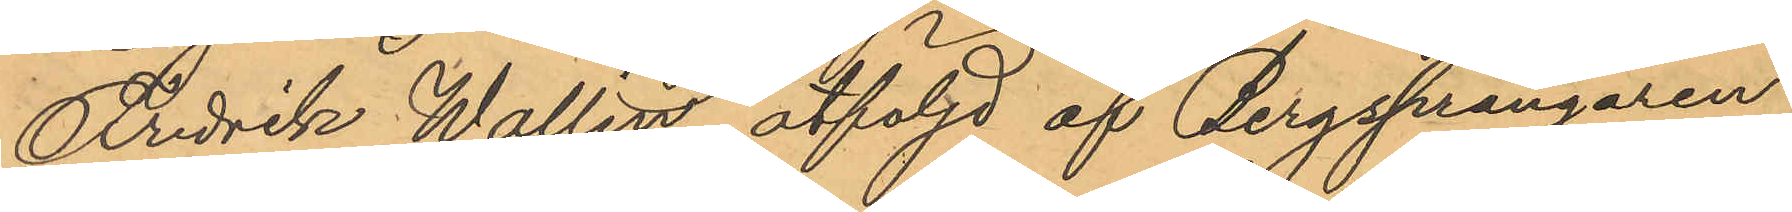Fredrik Wallin åtföljd af Bergsprängaren
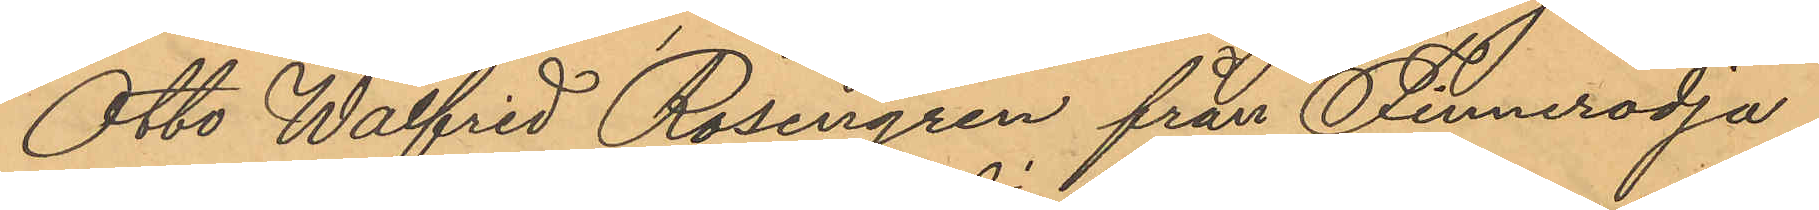Otto Walfrid Rosengren från Finnerödja
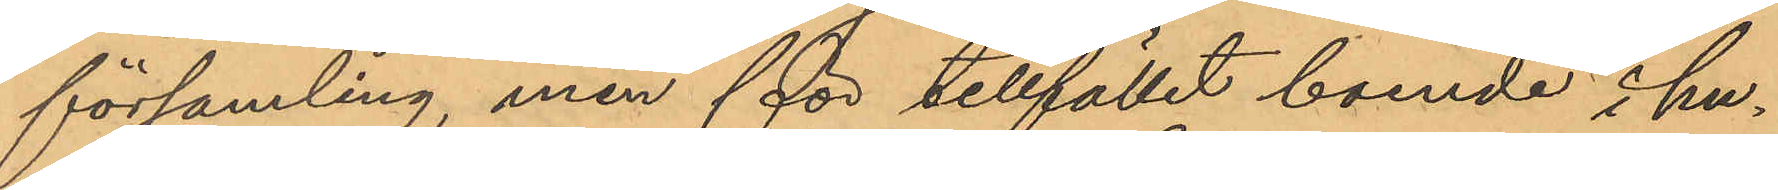församling, men för tillfället boende i hu¬
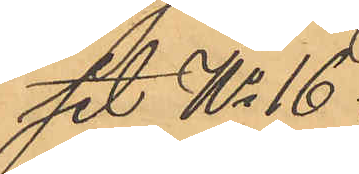set No 16
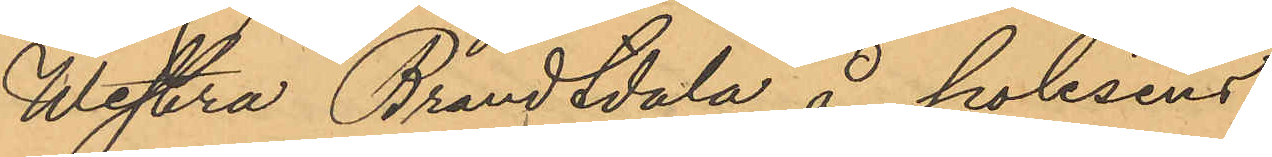Westra Brandtdala å polisens
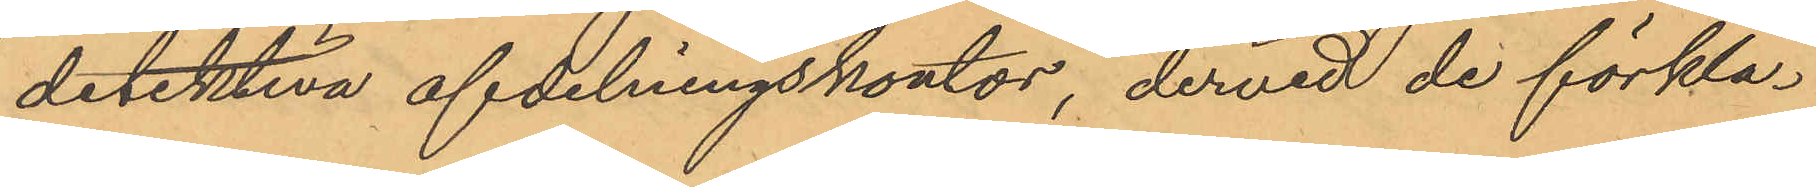detektiva afdelningskontor, dervid de förkla¬
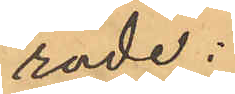rade:
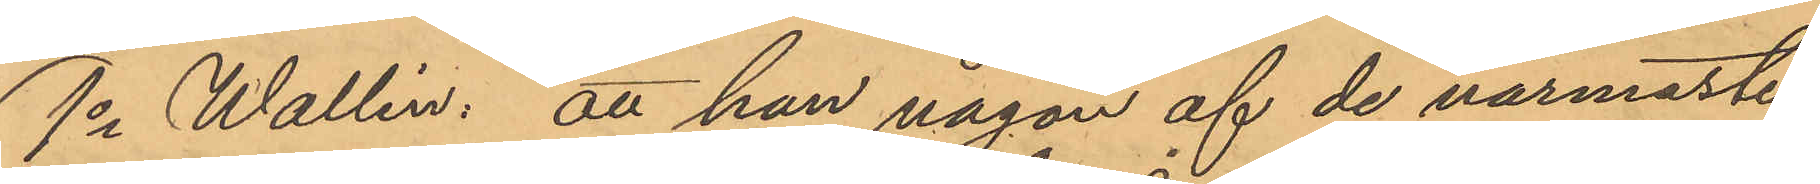1o Wallin: att han någon af de närmaste
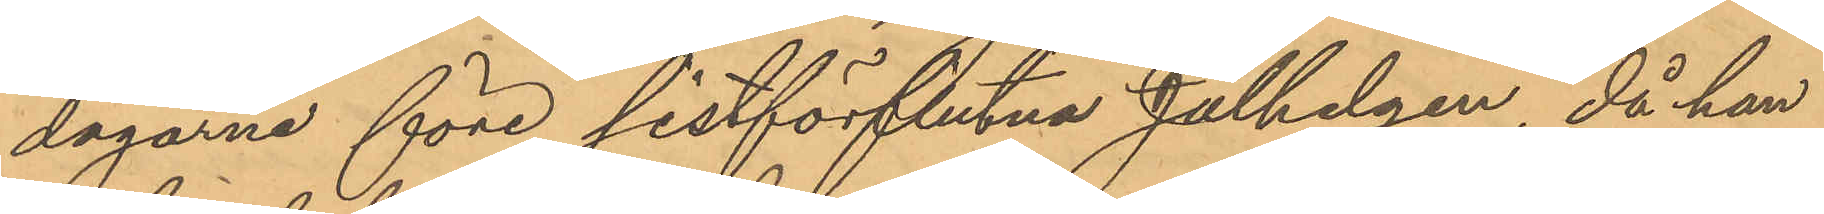dagarne före sistförflutna Julhelgen, då han
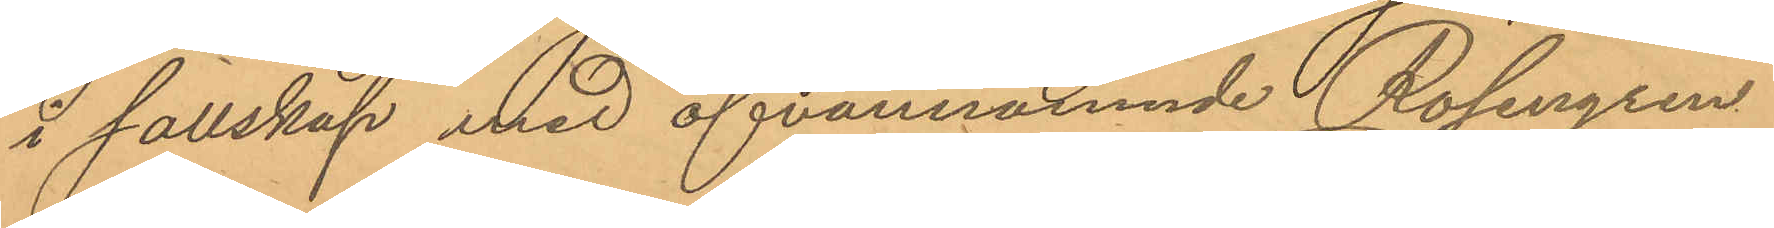i sällskap med ofvannämnde Rosengren
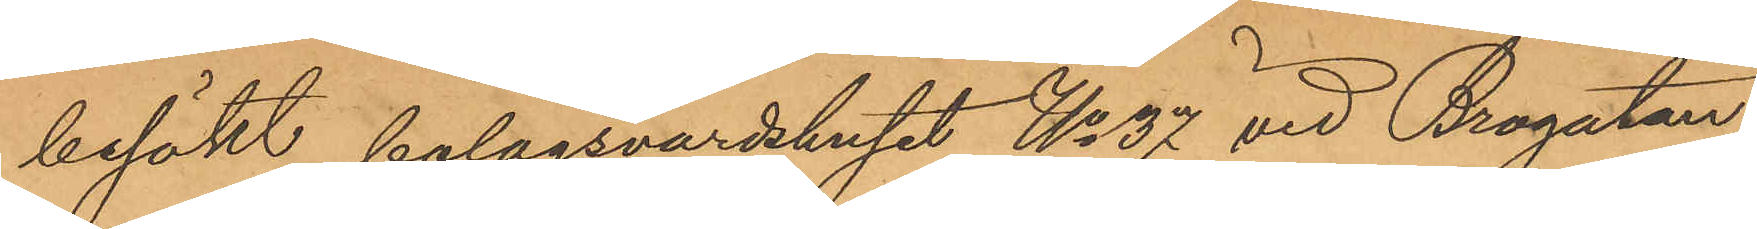besökt bolagsvärdshuset No 37 vid Brogatan,
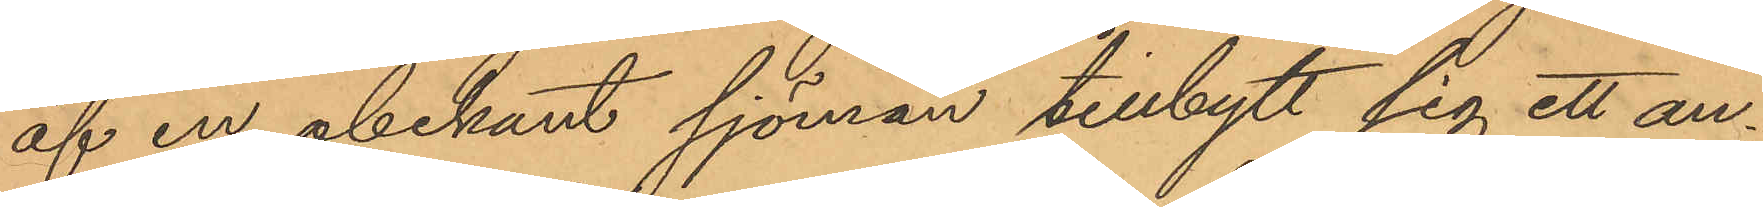af en obekant sjöman tillbytt sig ett an¬
